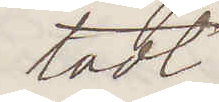tadt
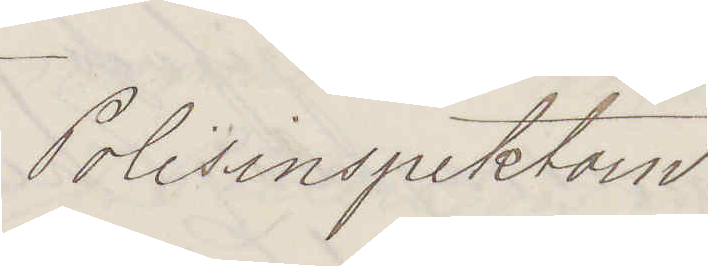Polisinspektorn
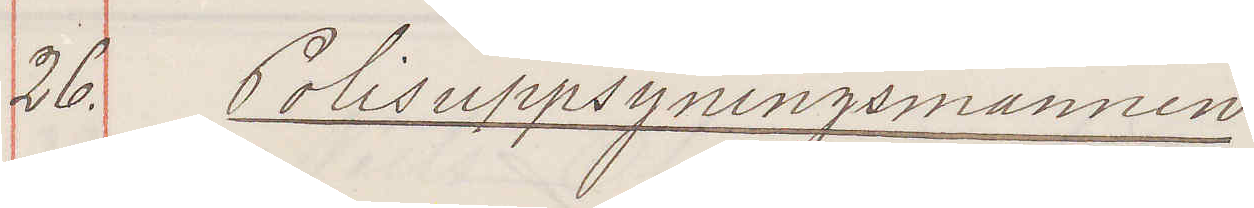26. Polisuppsyningsmannen
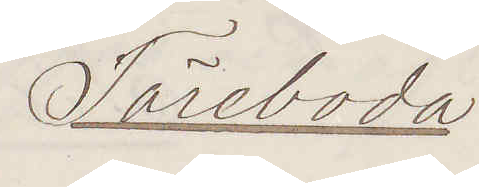Töreboda
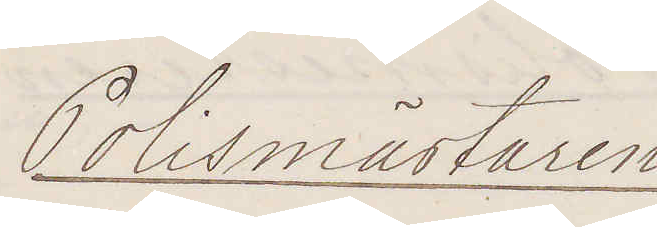Polismästaren
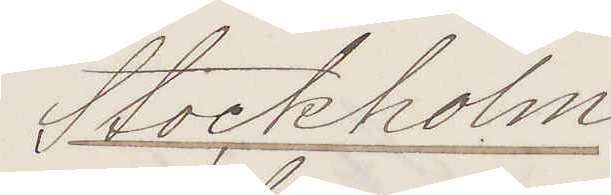Stockholm
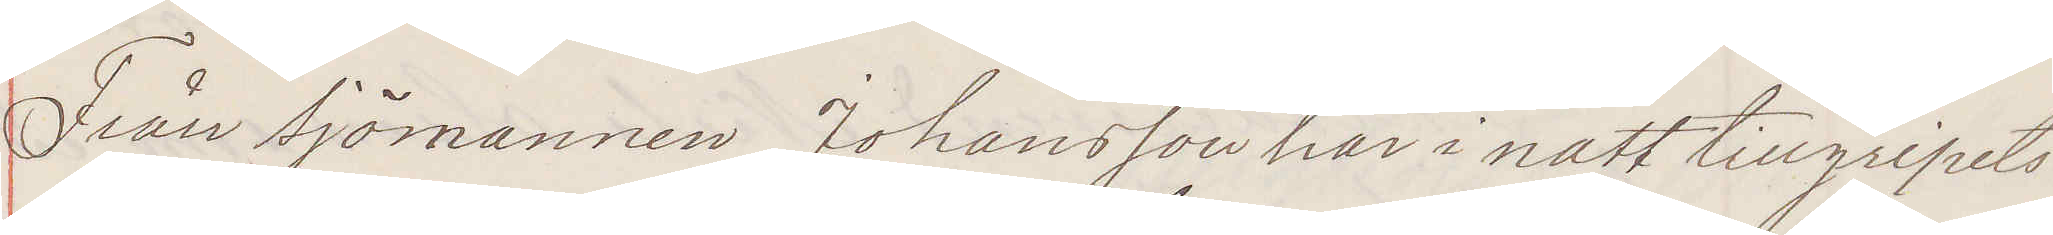Från Sjömannen Johansson har inatt tillgripits
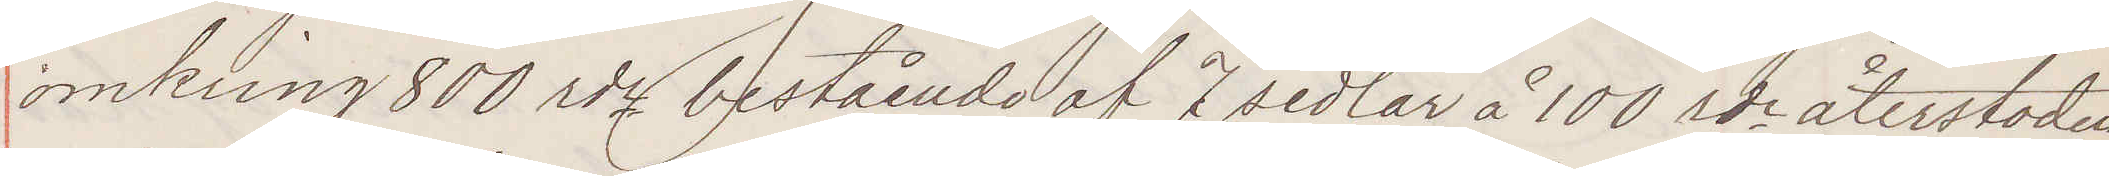omkring 800 rdr bestående af 7 sedlar å 100 rdr återstoden
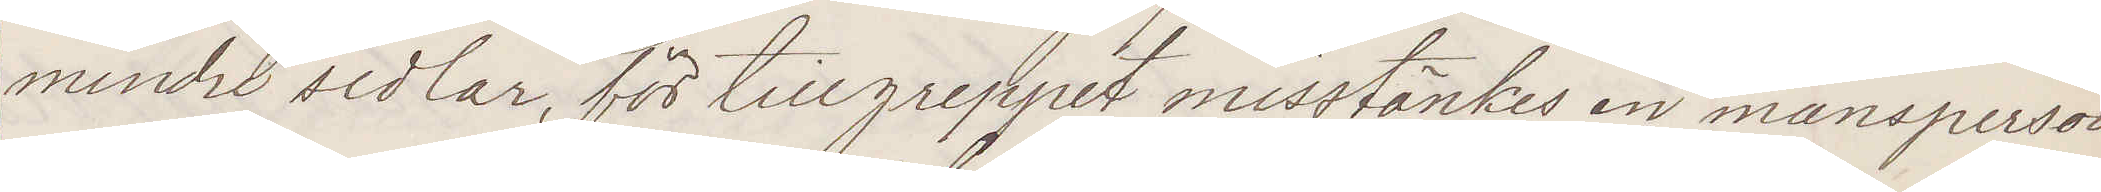mindre sedlar, för tillgreppet misstänkes en mansperson
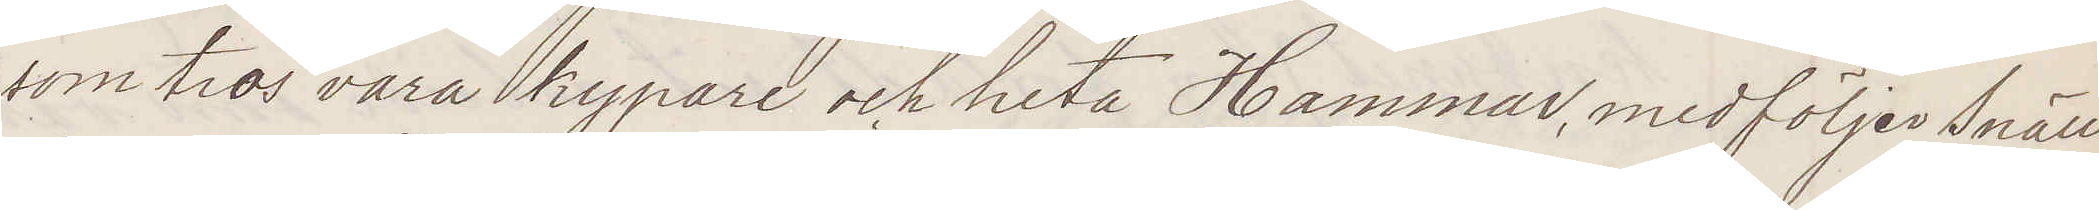som tros vara kypare och heta Hammar, medföljer Snäll¬
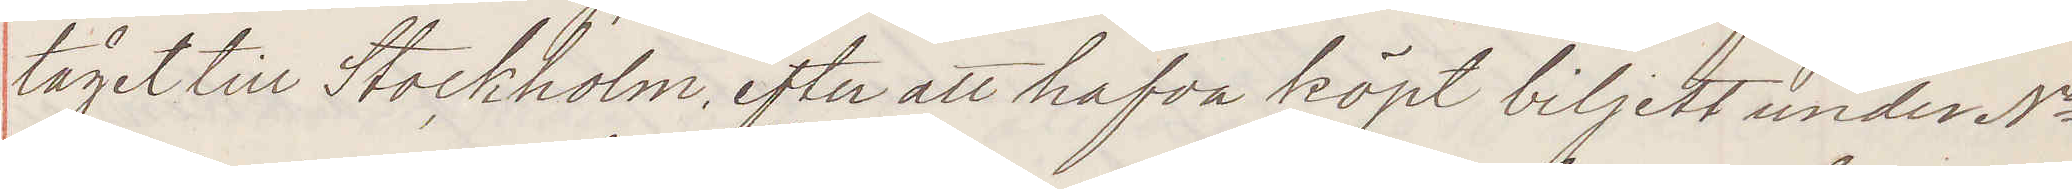tåget till Stockholm, efter att hafva köpt biljett under No
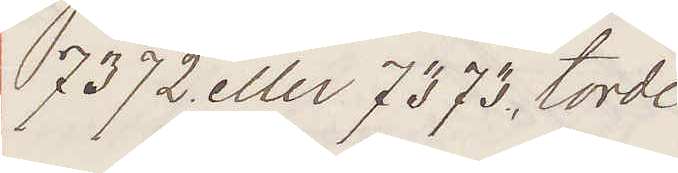7372 eller 7373 torde
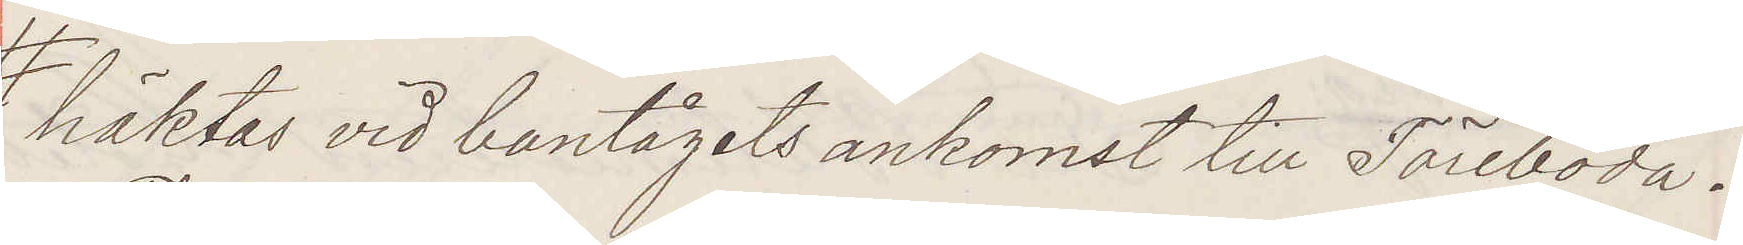häktas vid bantågets ankomst till Töreboda.
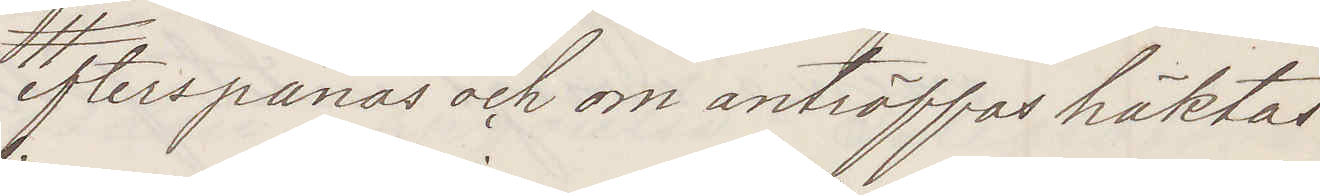efterspanas och om anträffas häktas
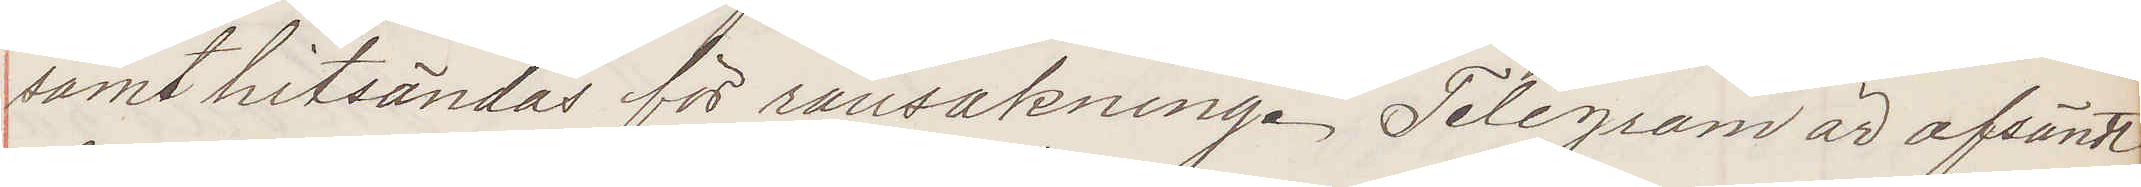samt hitsändas för ransakning. Telegram är afsändt
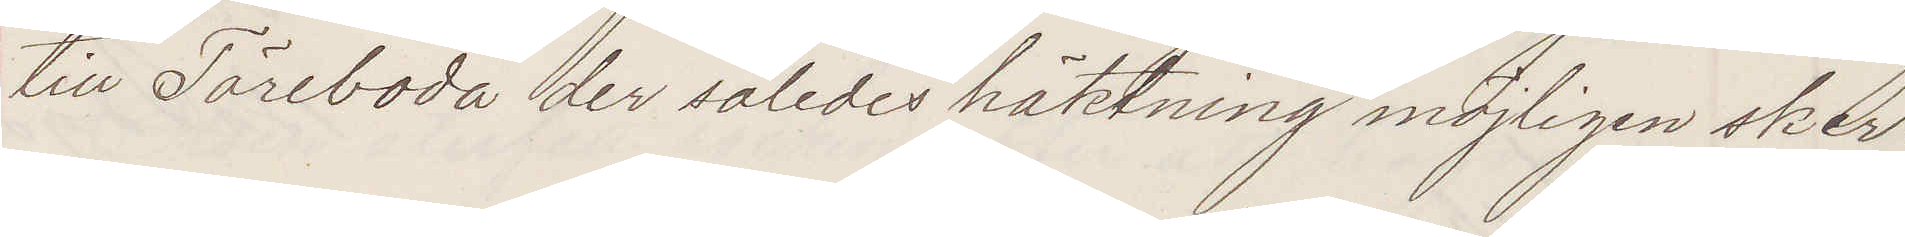till Töreboda der således häktning möjligen sker.
